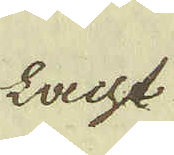lacht
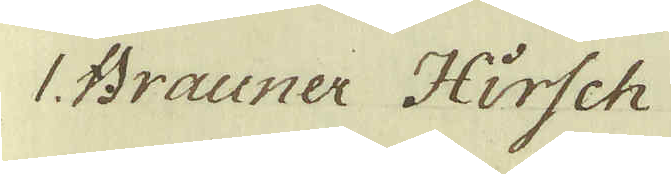1. Brauner Hirsch
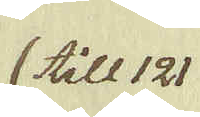till 121.
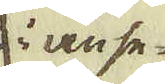i anse-
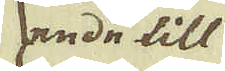ende till
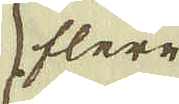flere
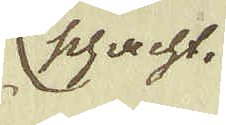Schacht.
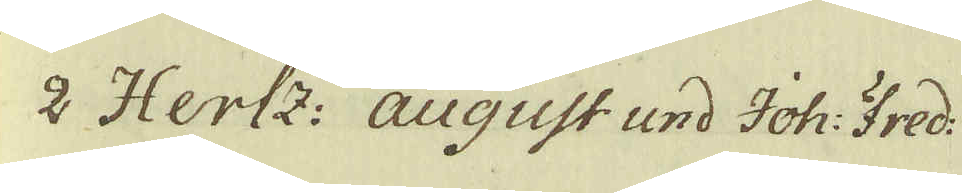2 Hertz: august und Joh: Fred:
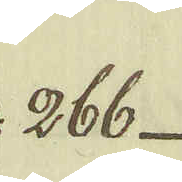266
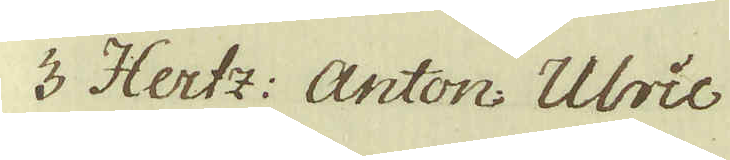3 Hertz: Anton: Ulric
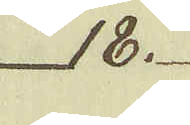18.
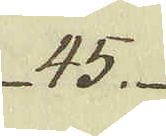45.
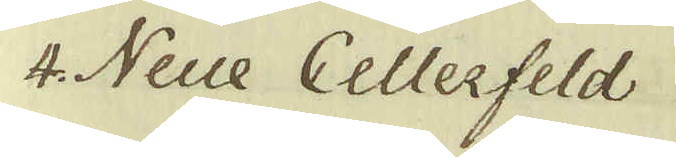4. Neue Cellerfeld
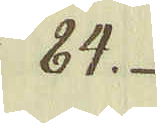84.
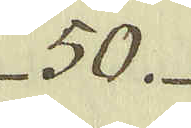50.
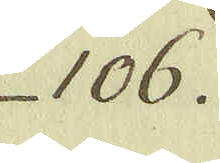106.
